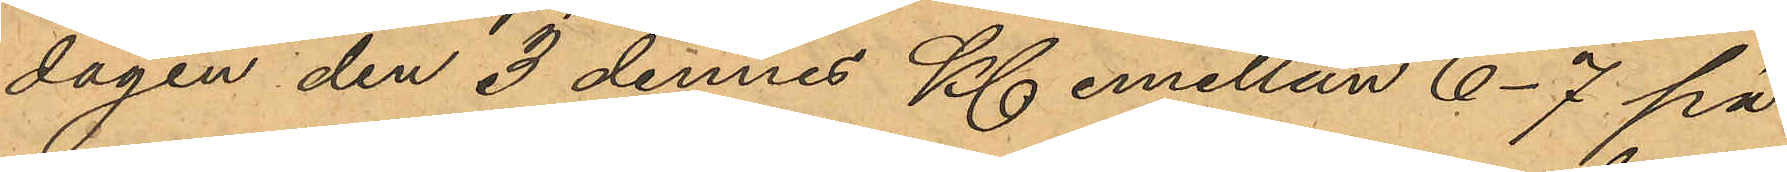dagen den 3 dennes Kl. emellan 6-7 på
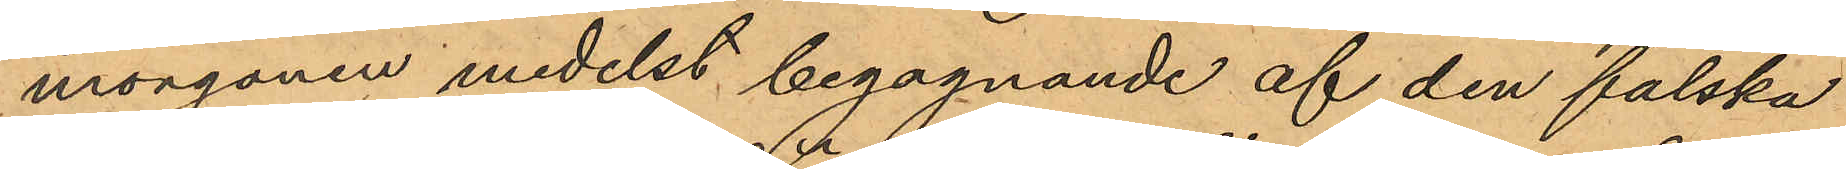morgonen medelst begagnande af den falska
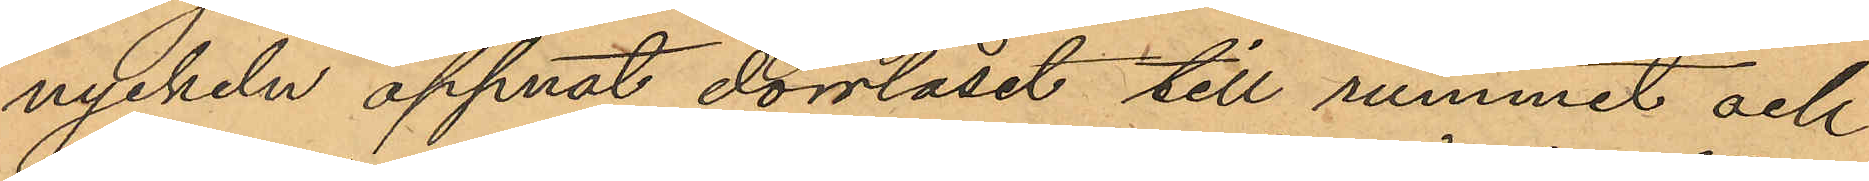nyckeln öppnat dörrlåset till rummet och
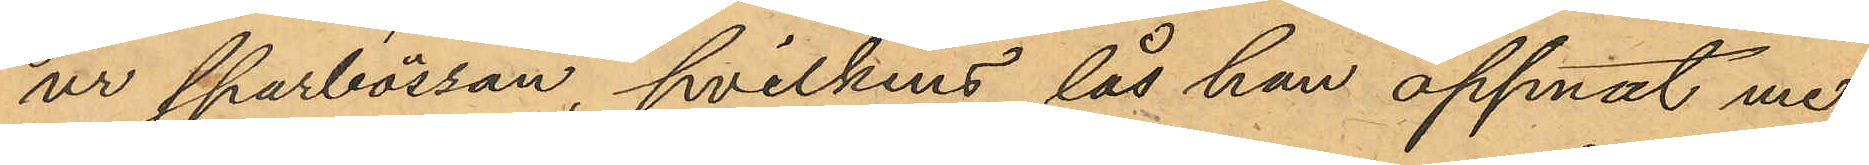ur sparbössan, hvilkens lås han öppnat me¬
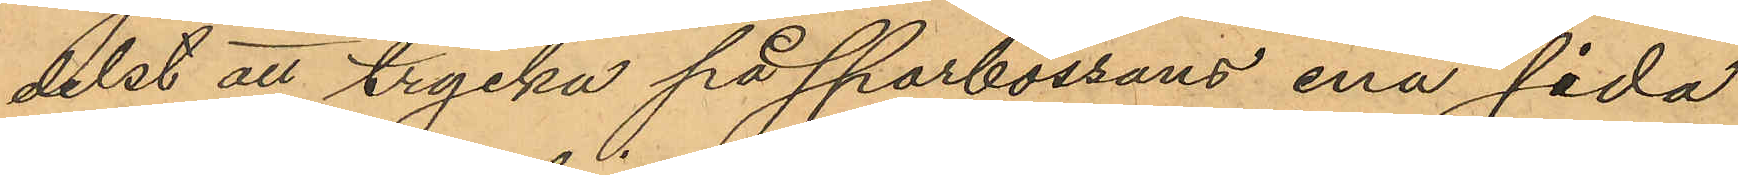delst att trycka på sparbössans ena sida
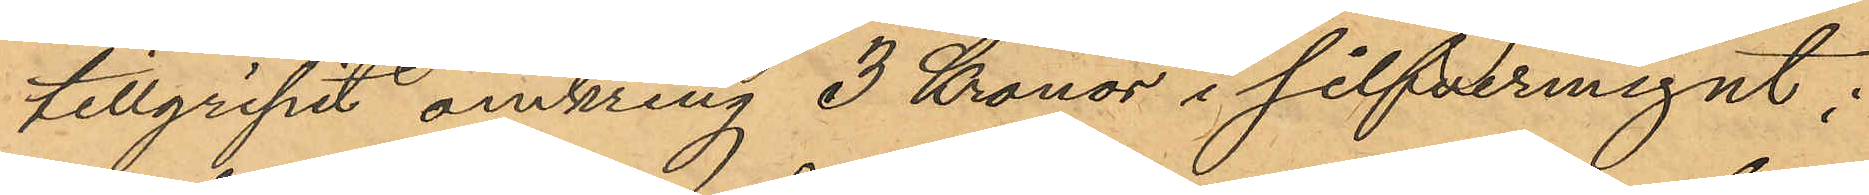tillgripit omkring 3 Kronor i silfvermynt;
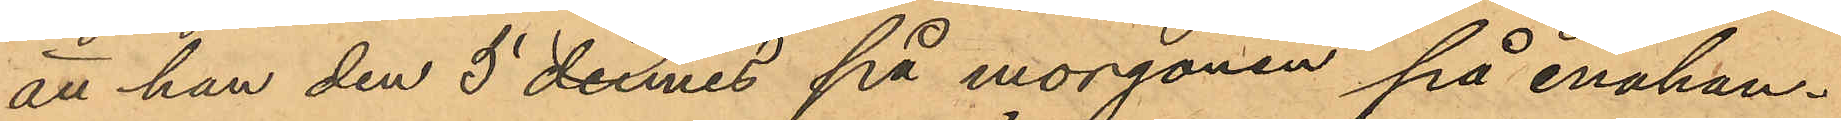att han den 5 dennes på morgonen på enahan¬
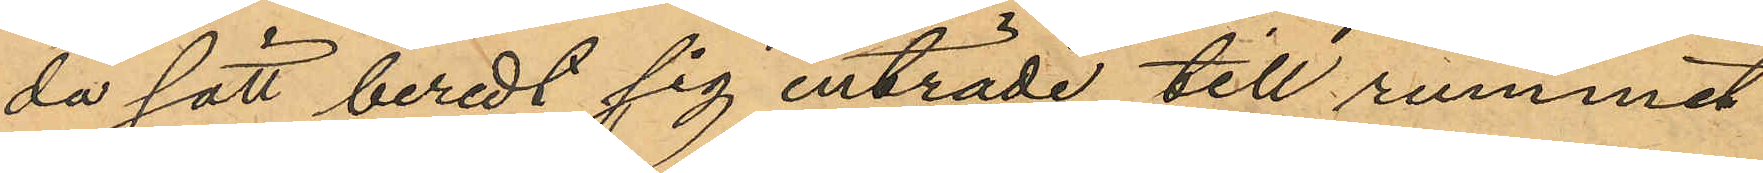da sätt beredt sig inträde till rummet
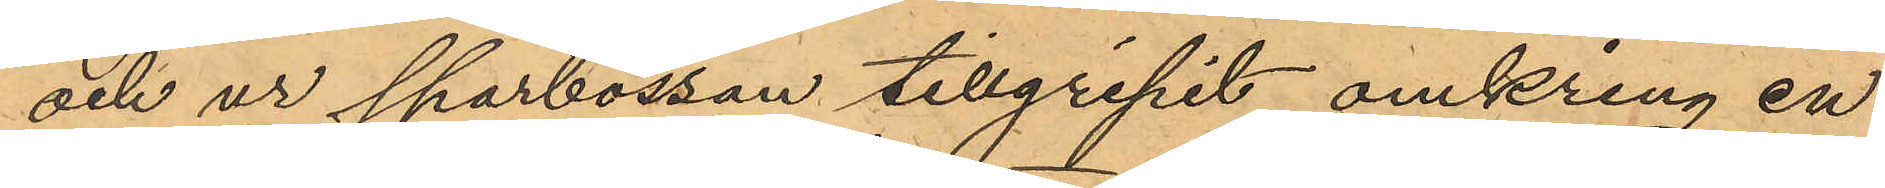och ur sparbössan tillgripit omkring en
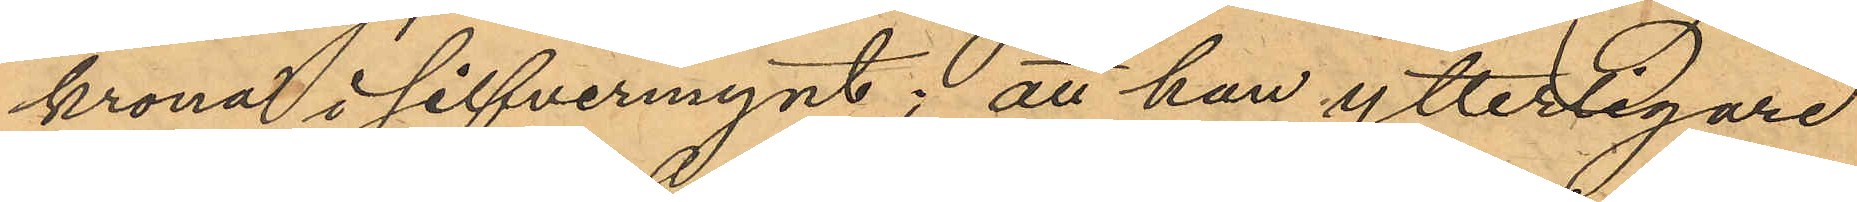krona i silfvermynt; att han ytterligare
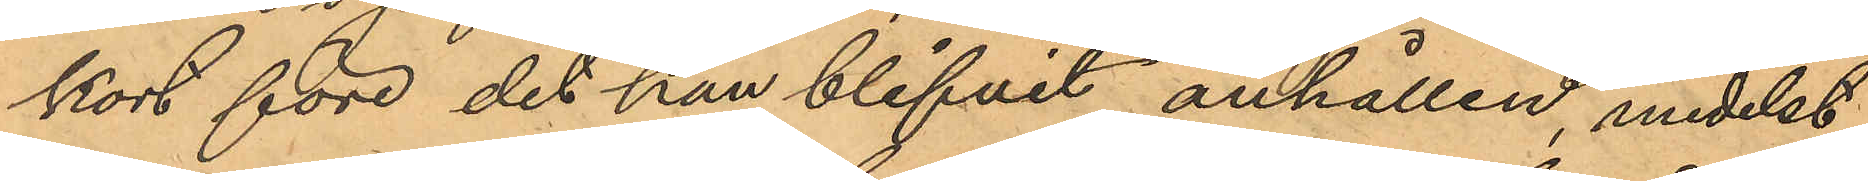kort före det han blifvit anhållen, medelst
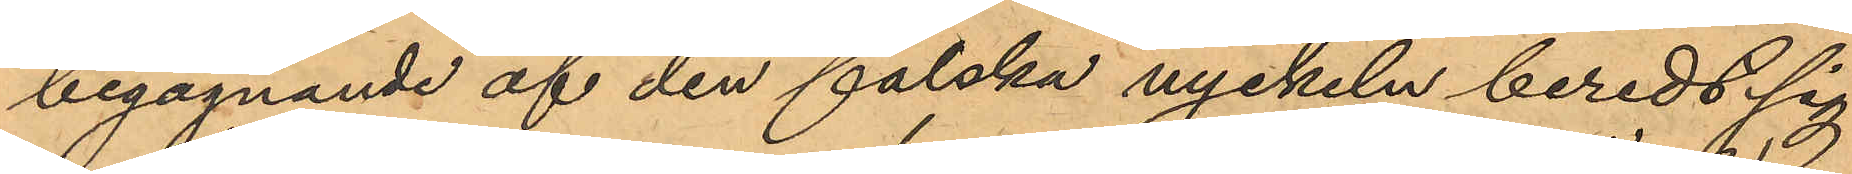begagnande af den falska nyckeln beredt sig
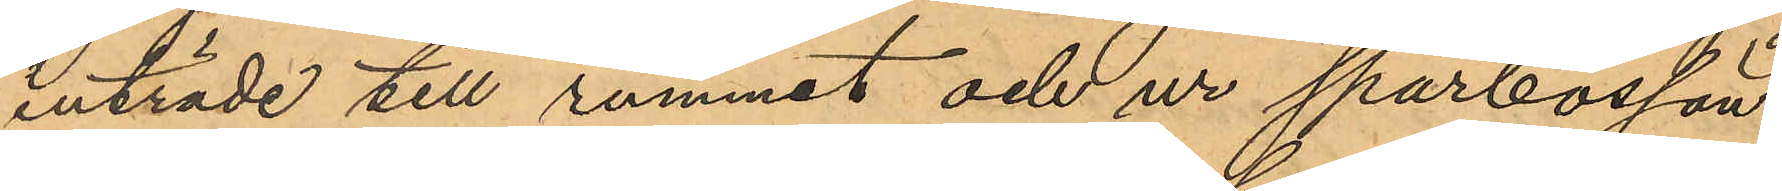inträde till rummet och ur sparbössan
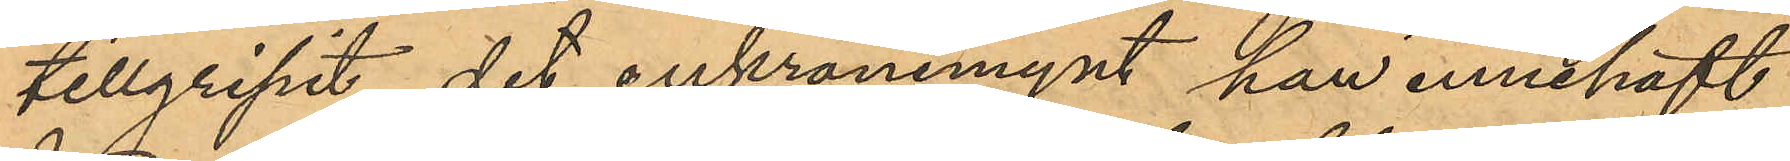tillgripit det enkronemynt han innehaft
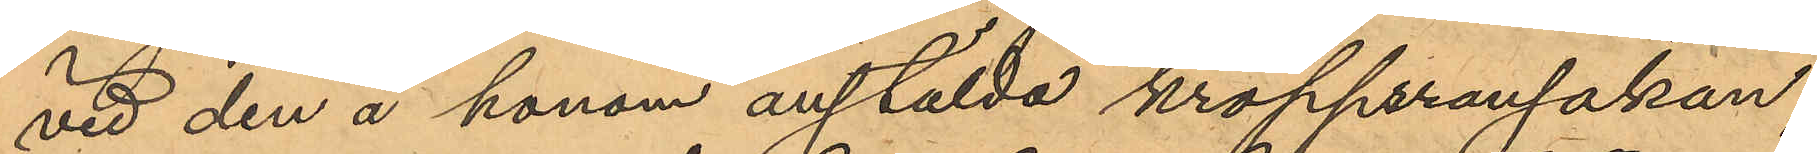vid den å honom anstälda kroppsransakan;
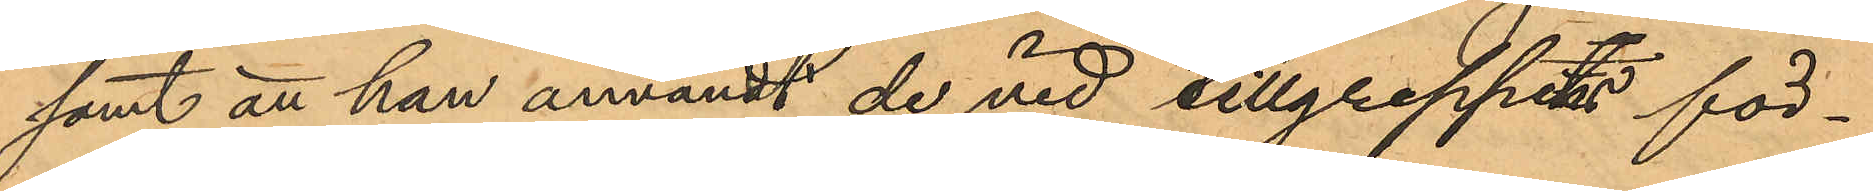samt att han användt de vid tillgreppets för¬
